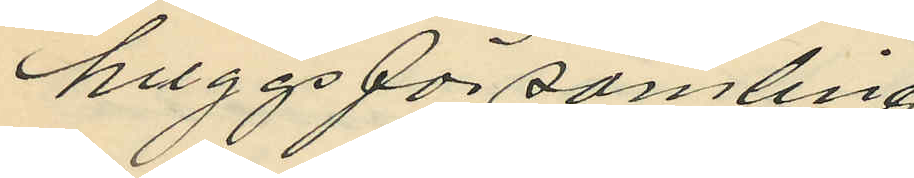huggsförsamling,
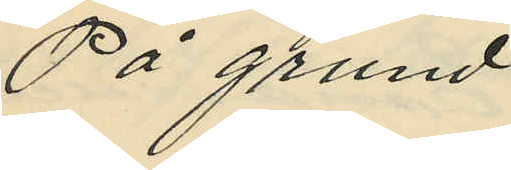på grund
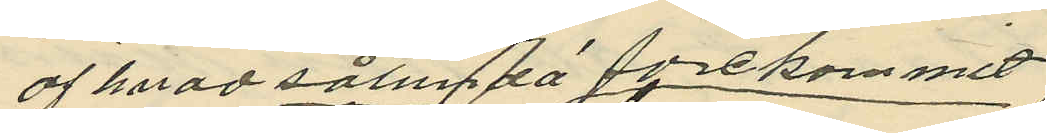af hvad sålunda förekommit
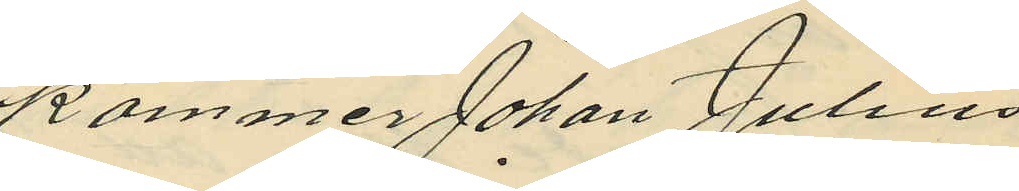kommer Johan Julius
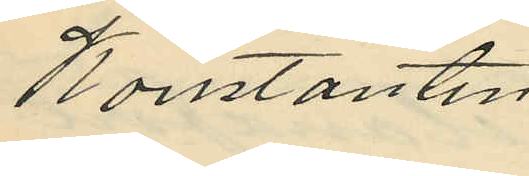Konstantin
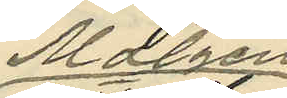Matzen
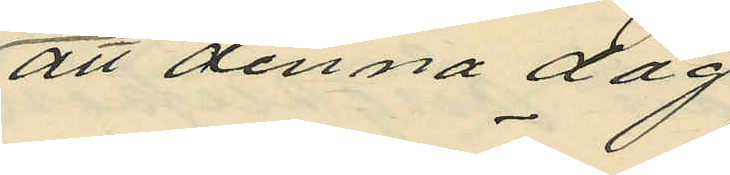att denna dag
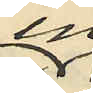in¬
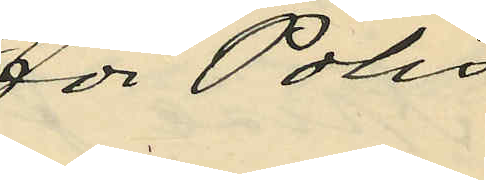för Polis
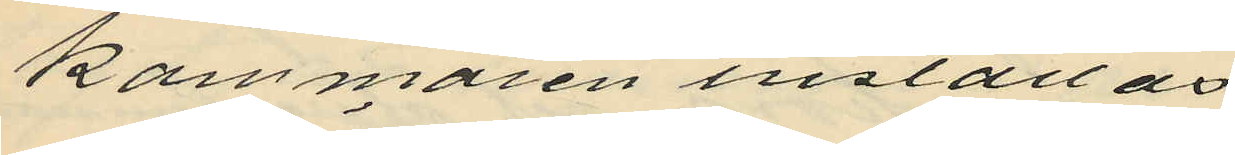kammaren inställas
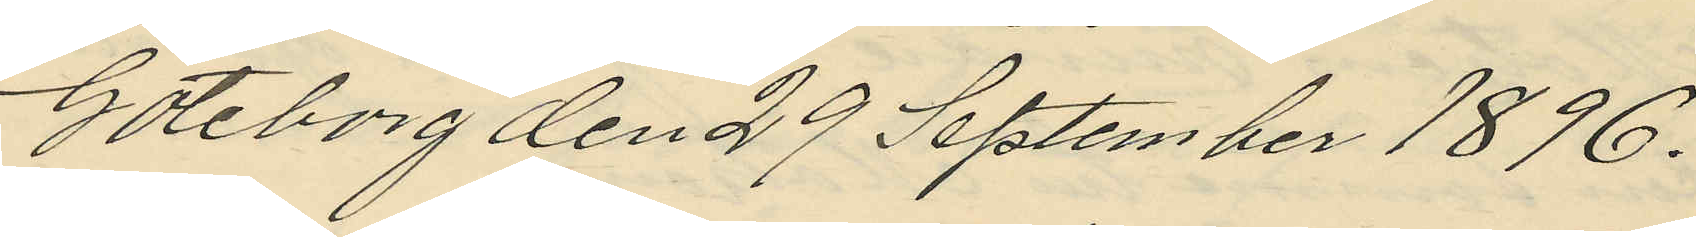Göteborg den 29 September 1896.
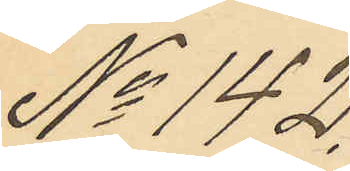No 142.
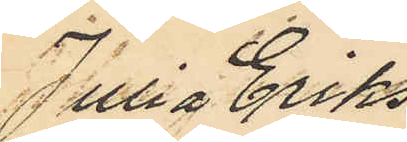Julia Eriks
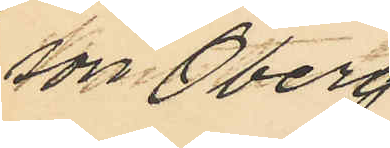son Öberg
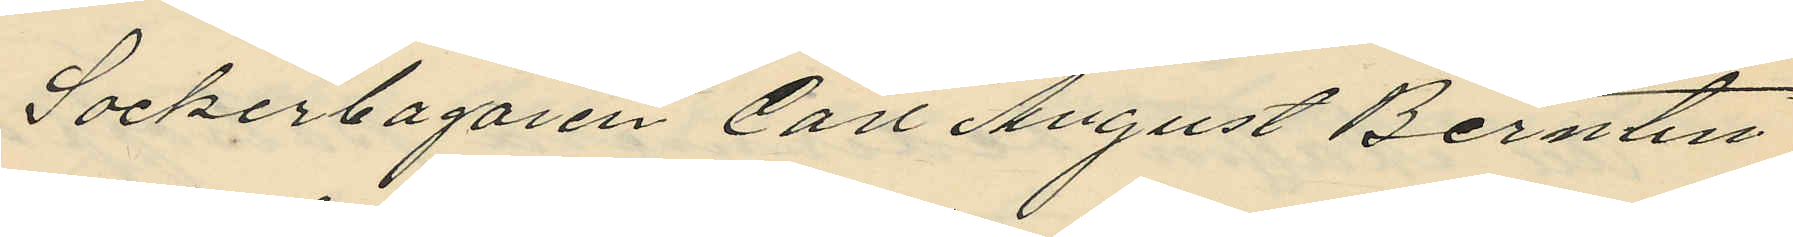Sockerbagaren Carl August Berntin
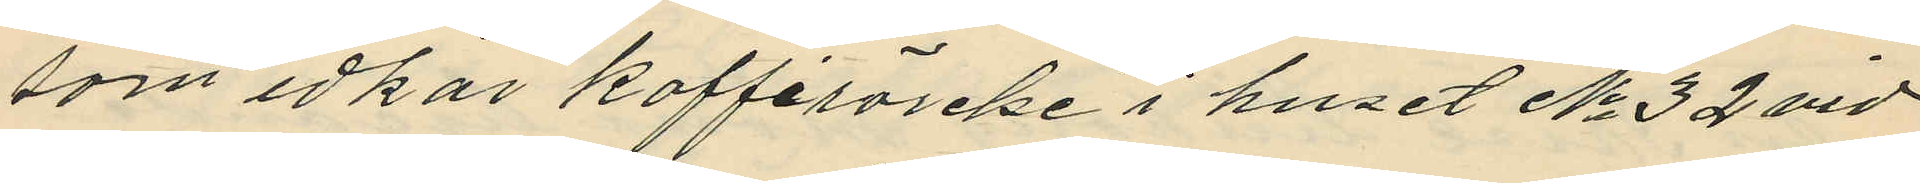som idkar kafférörelse i huset No 32 vid
